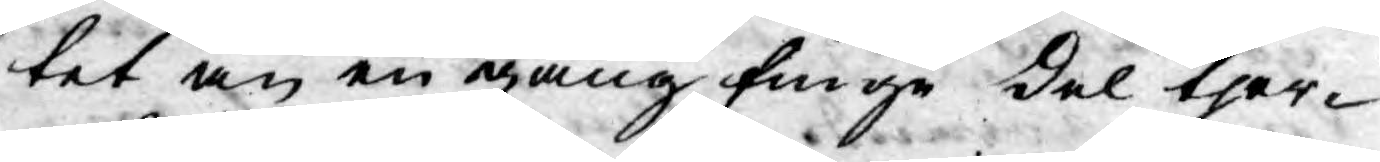tet än en gång finge del ther¬
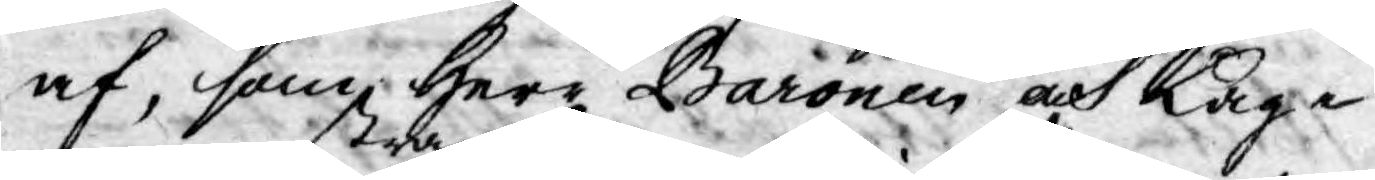af, som Herr Baronen och Lag¬
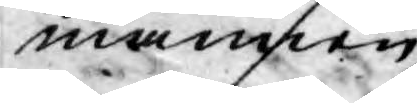mannen
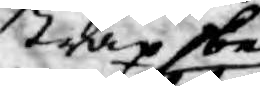strax be
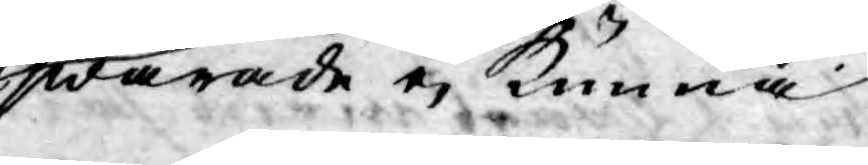swarade ej kunna
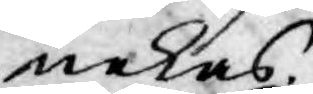nekas.
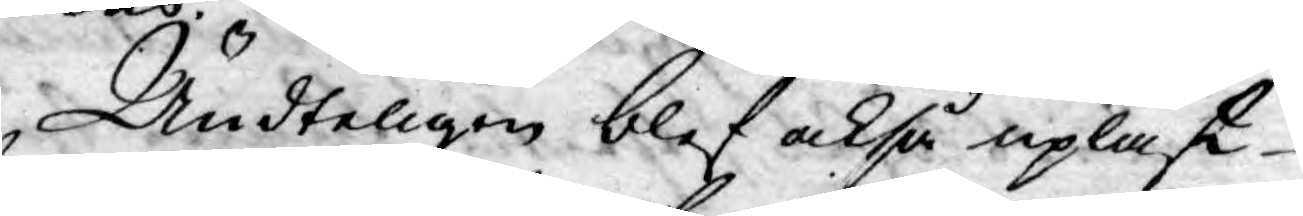Ändteligen blef också upläst
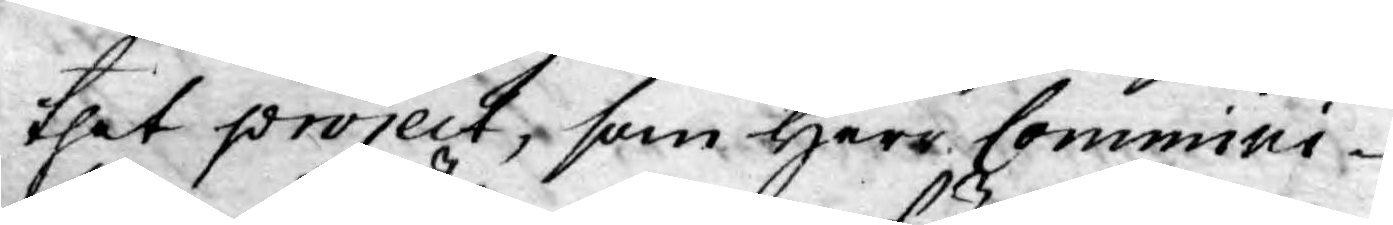thet project, som Herr Commini¬
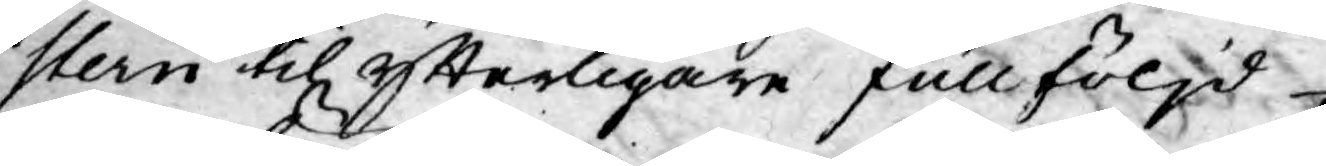stern till ytterligare fullföljd
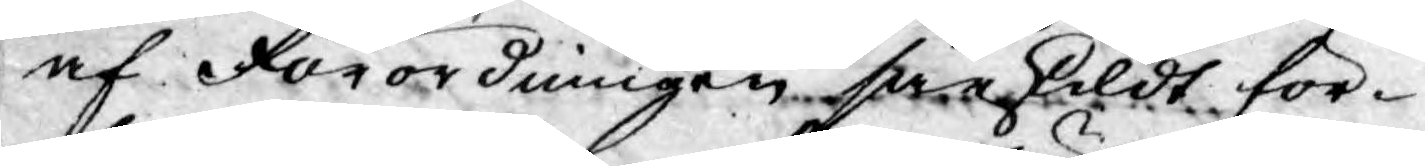af Förordningen särskildt för¬
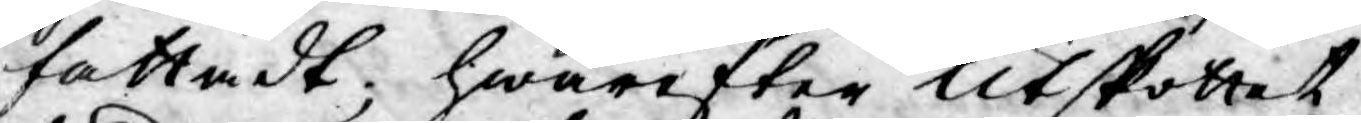fattadt; hwarefter Utskottet
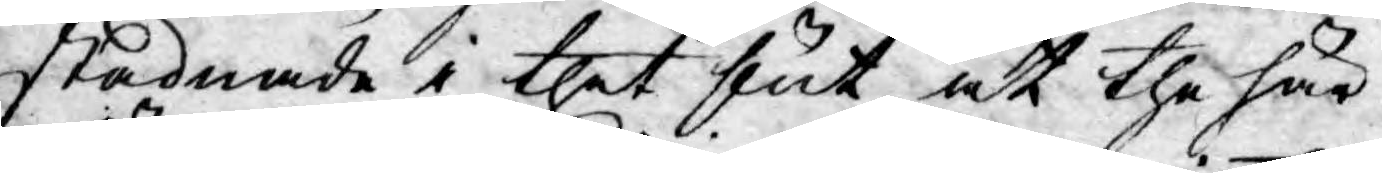stadnade i thet slut, at the här
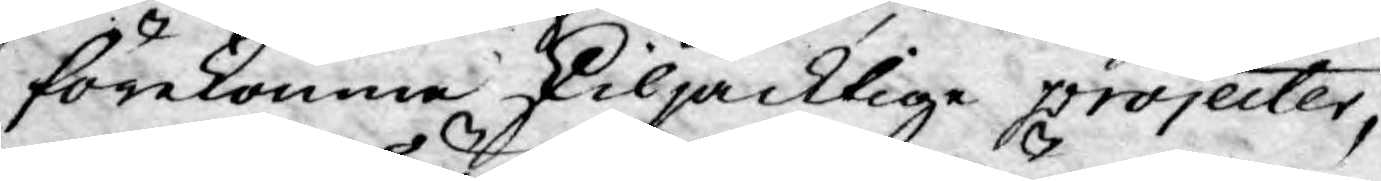förekomne skiljacktige projecter,
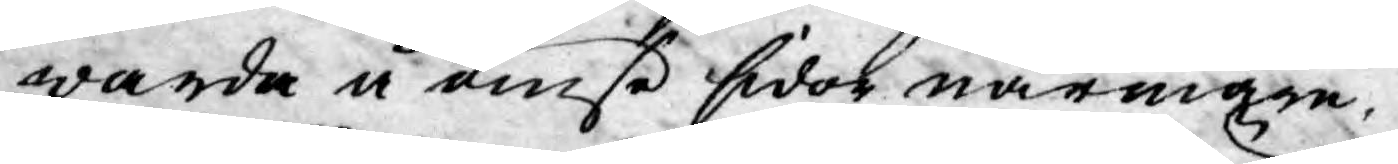warda å ömse sidor närmare
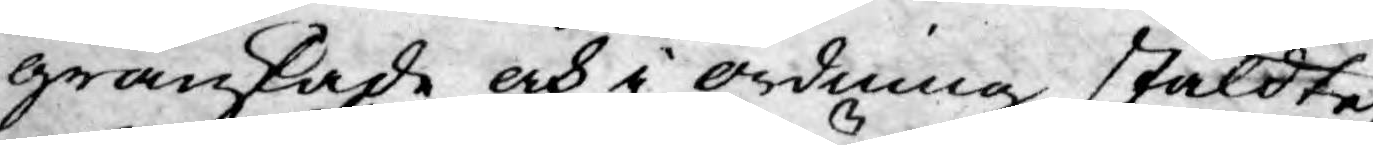granskade och i ordning stäldte,
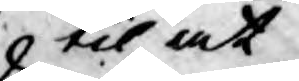til at
